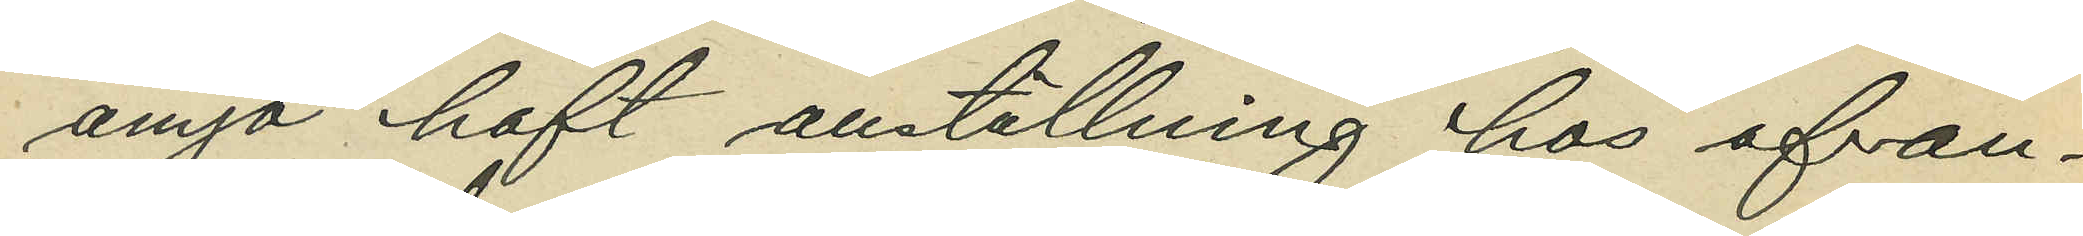ånyo haft anställning hos ofvan¬
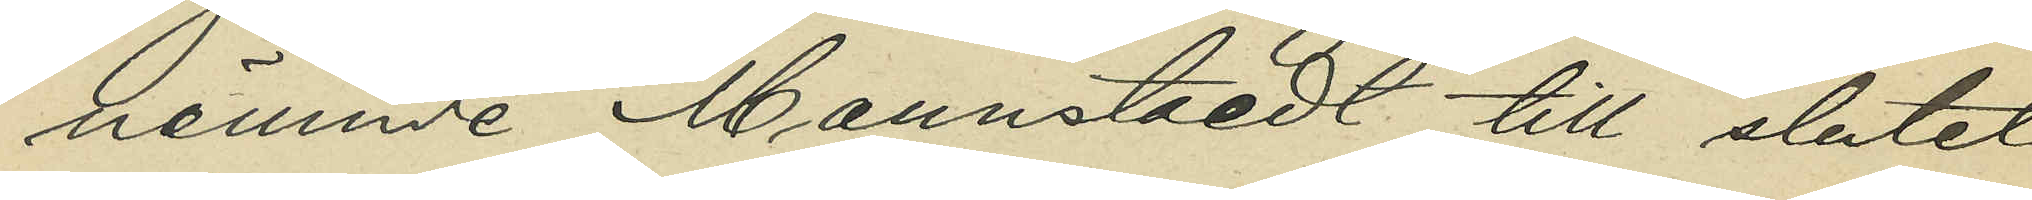nämnde Mannstaedt till slutet
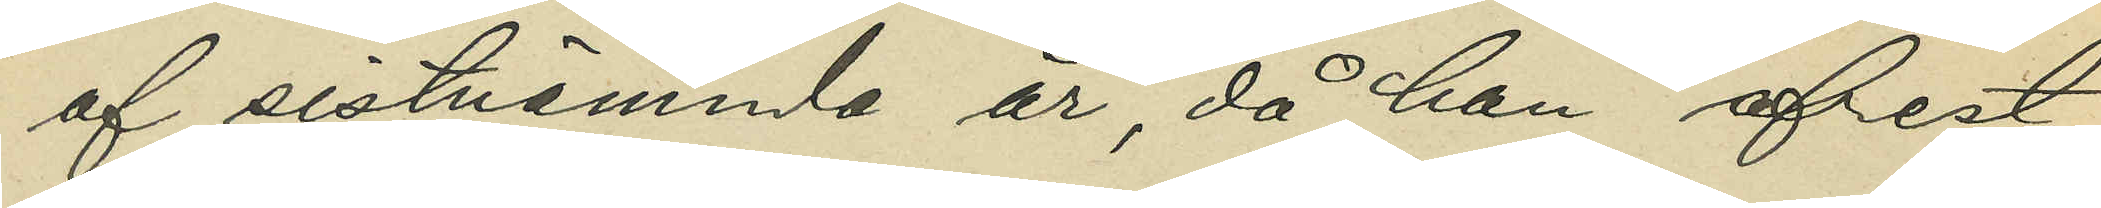af sistnämnda år, då han afrest
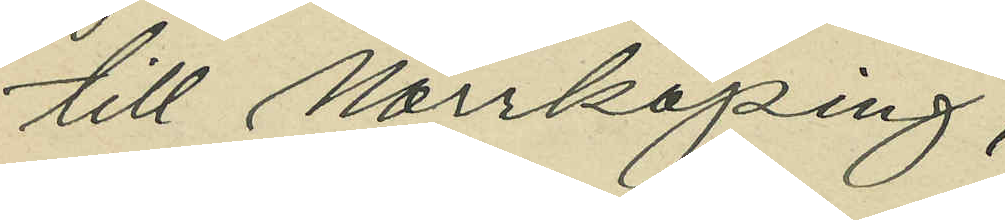till Norrköping;
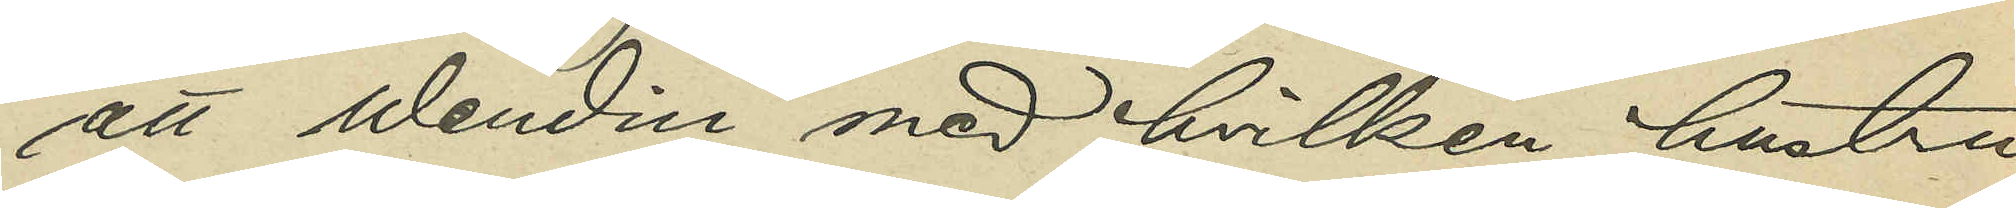att Wendin med hvilken hustru
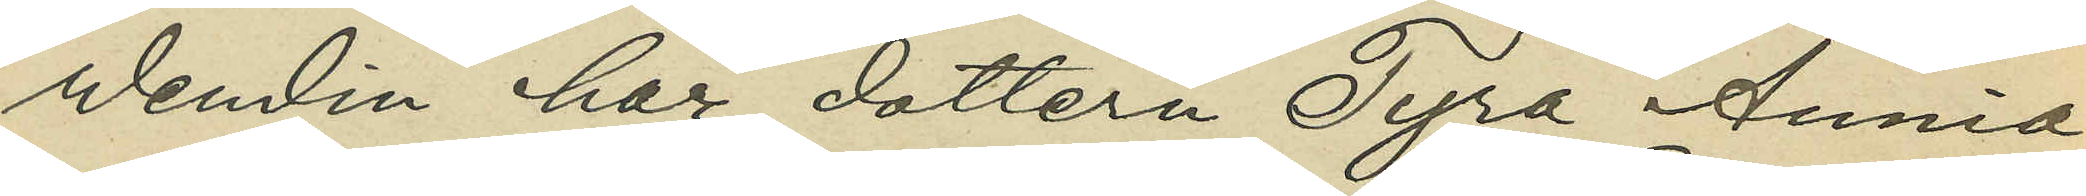Wendin har dottern Tyra Annia
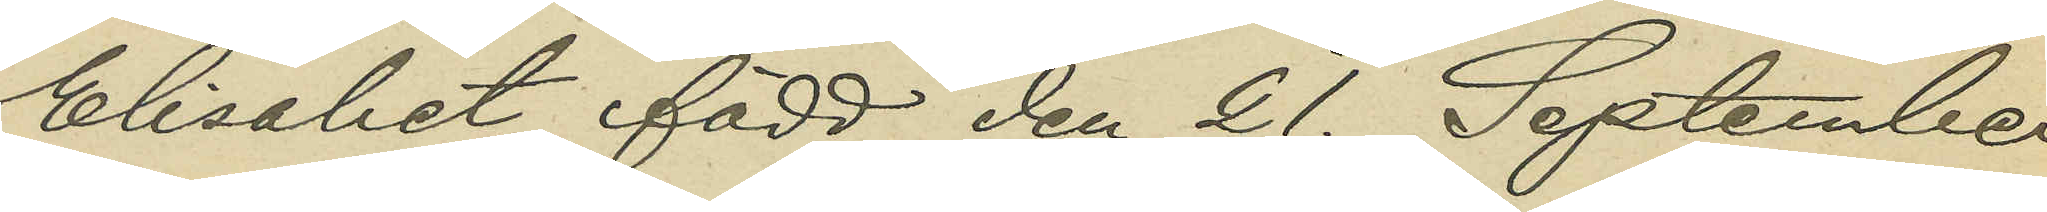Elisabet, född den 21. September
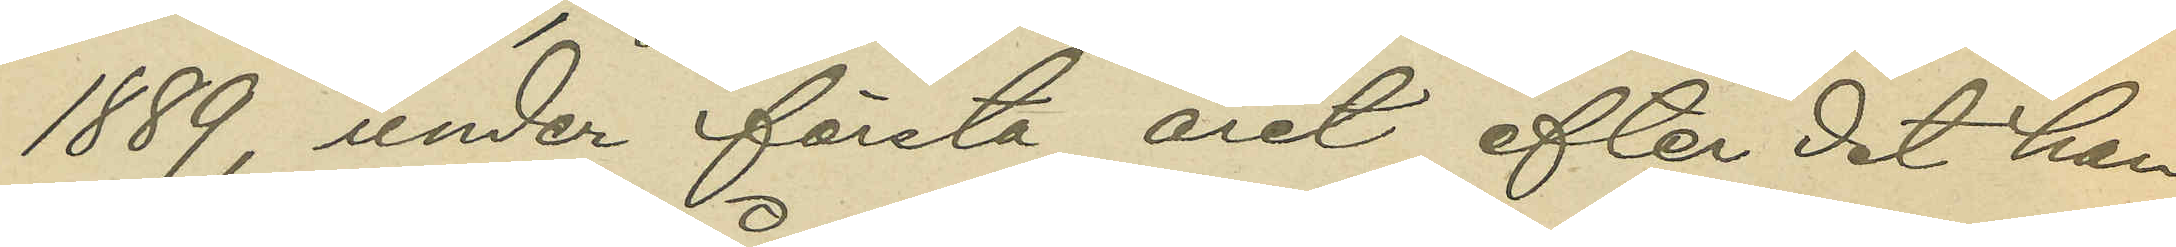1889, under första året efter det han
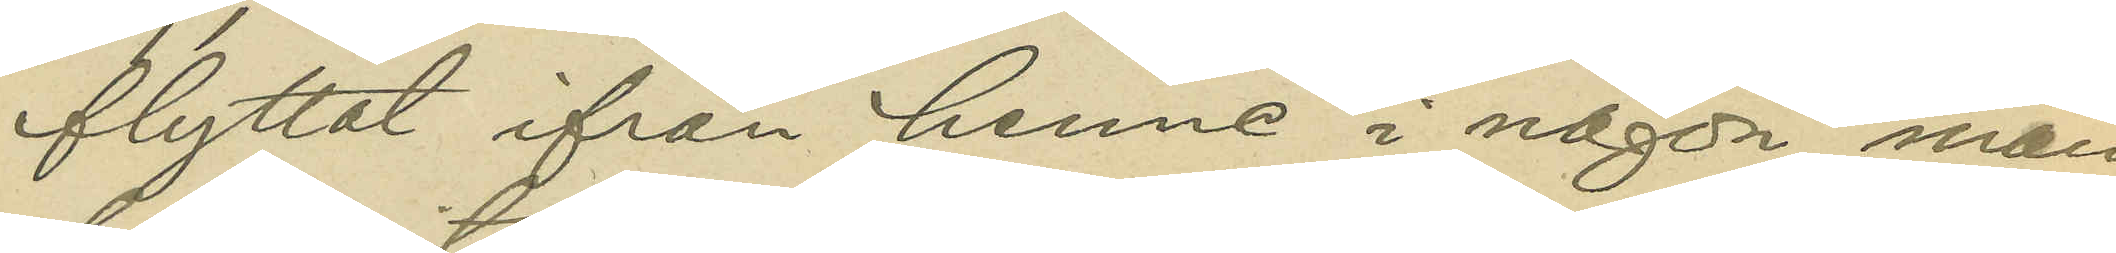flyttat ifrån henne i någon mån
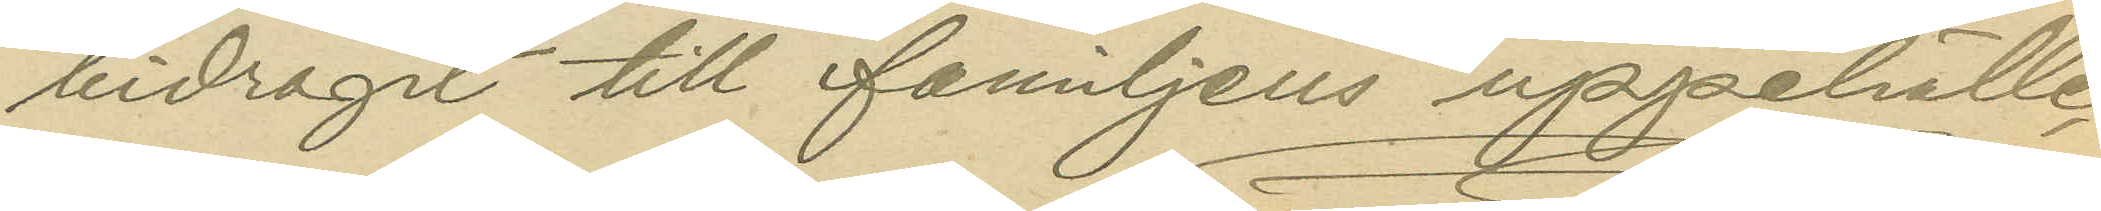bidragit till familjens uppehälle.
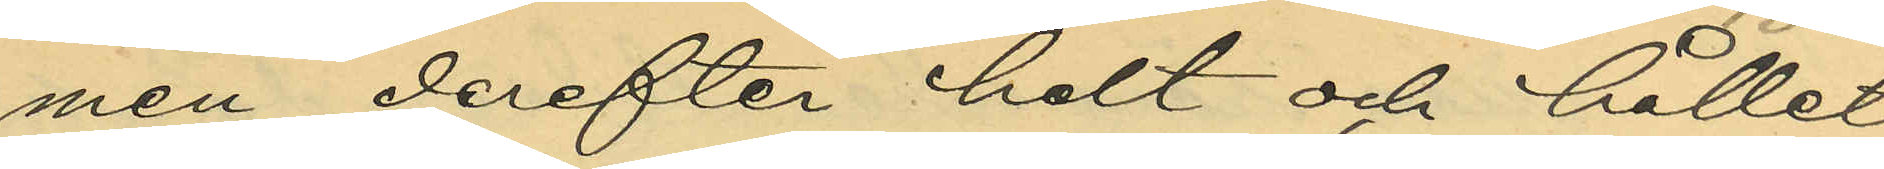men derefter helt och hållet
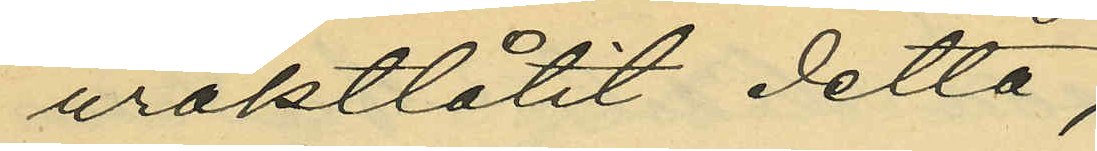uraktlåtit detta;
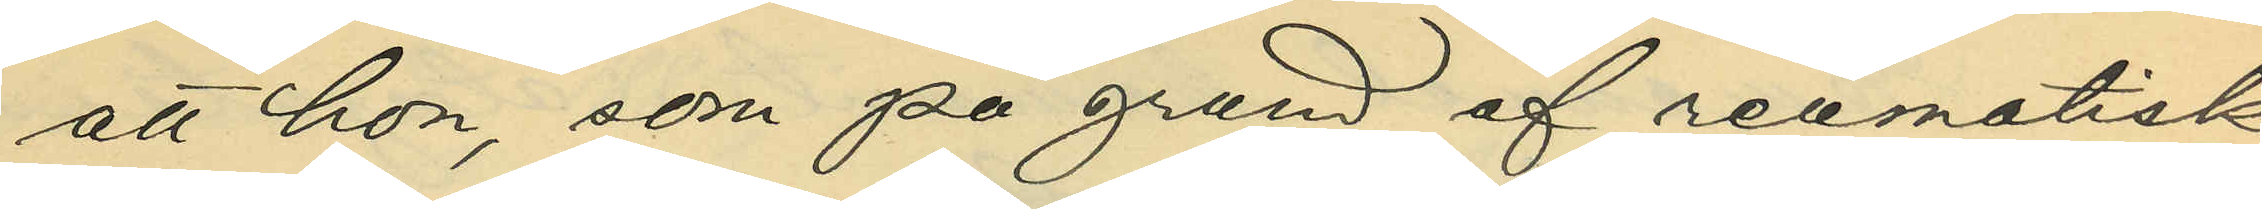att hon, som på grund af reumatisk
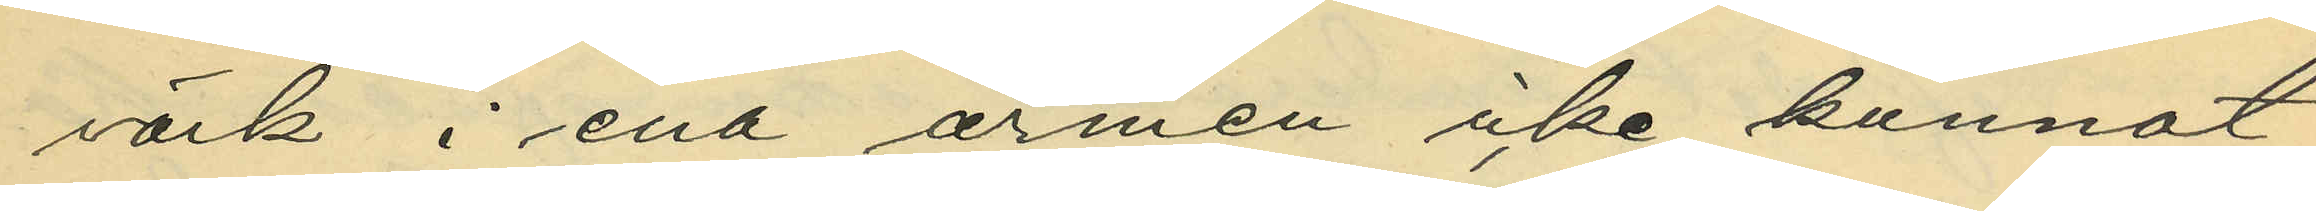värk i ena armen icke kunnat
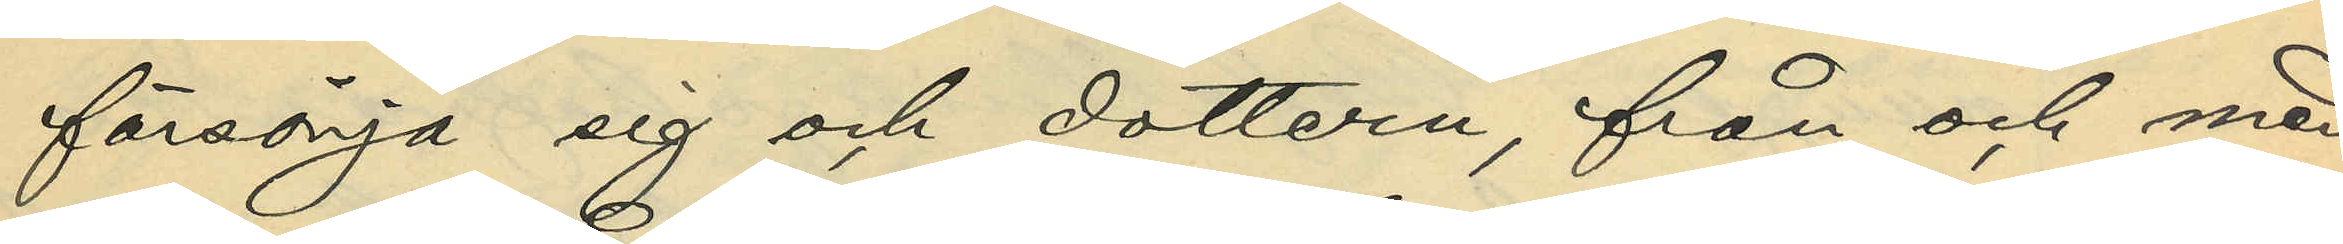försörja sig och dottern, från och med
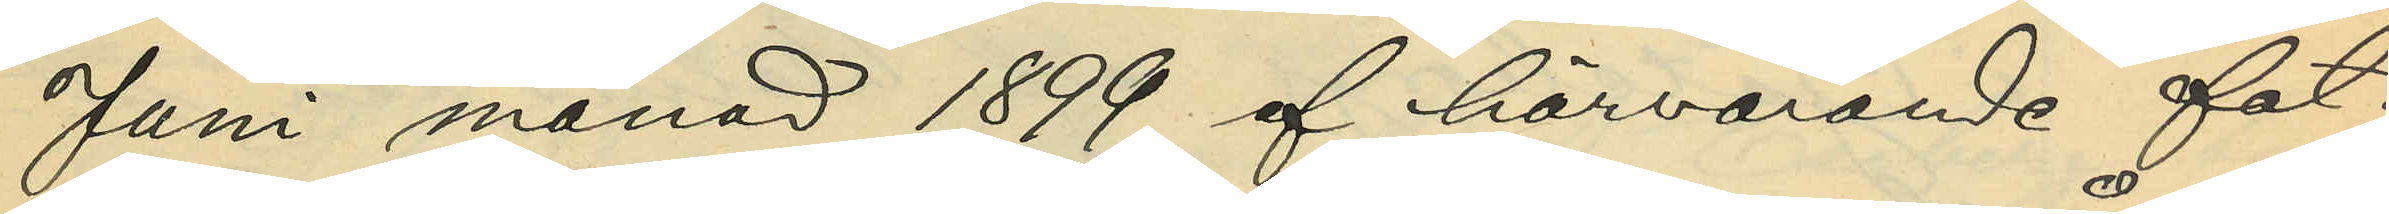Juni månad 1899 af härvarande fat¬
